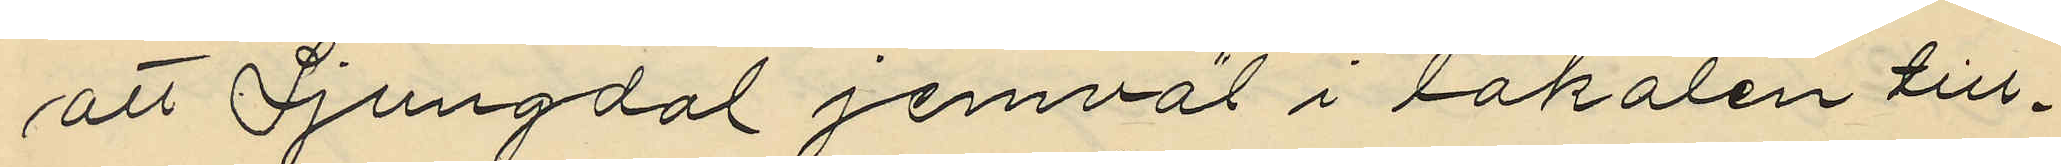att Sjungdal jemväl i lokalen till¬
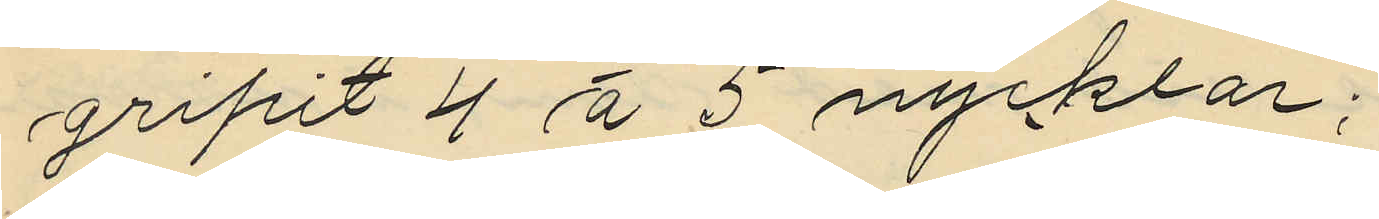gripit 4 á 5 nycklar;
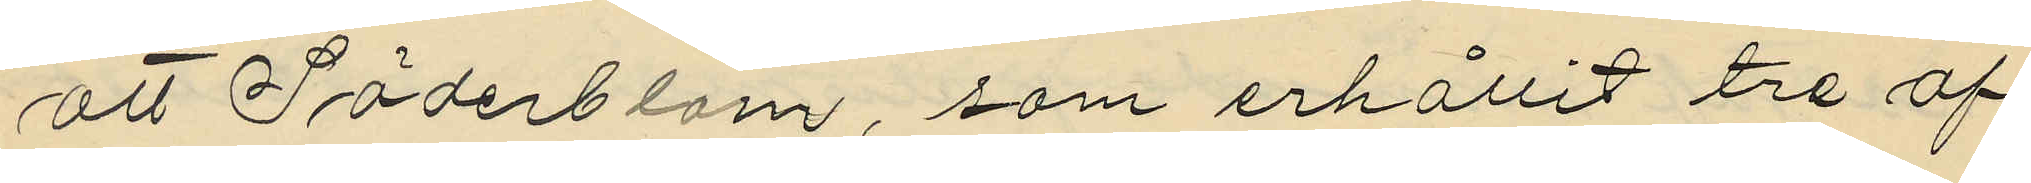att Söderblom, som erhållit tre af
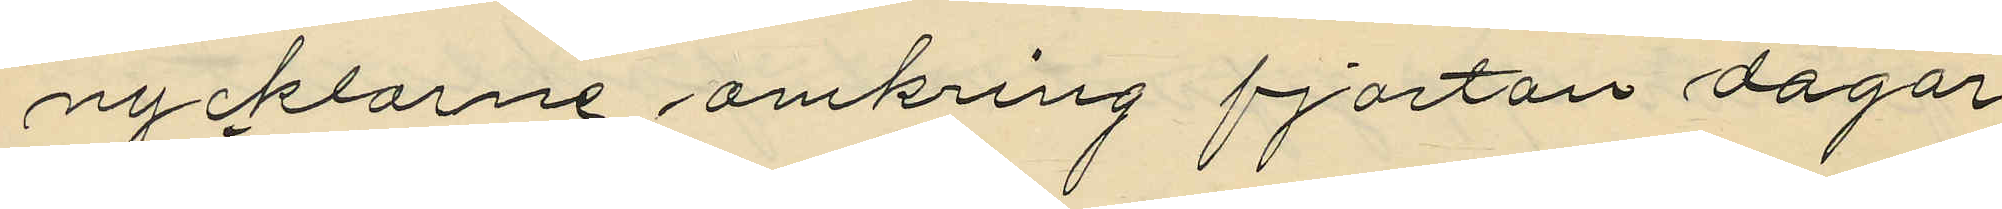nycklarne omkring fjortan dagar
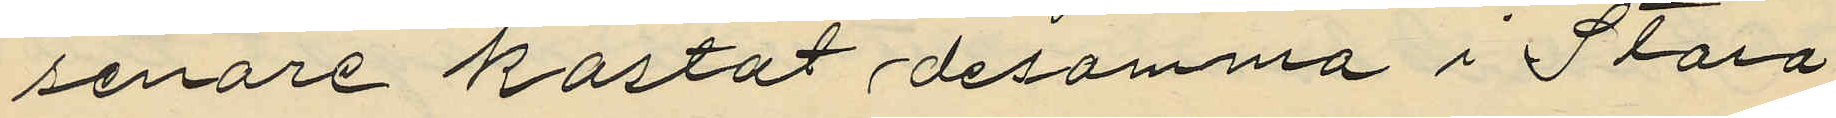senare kastat desamma i Stora
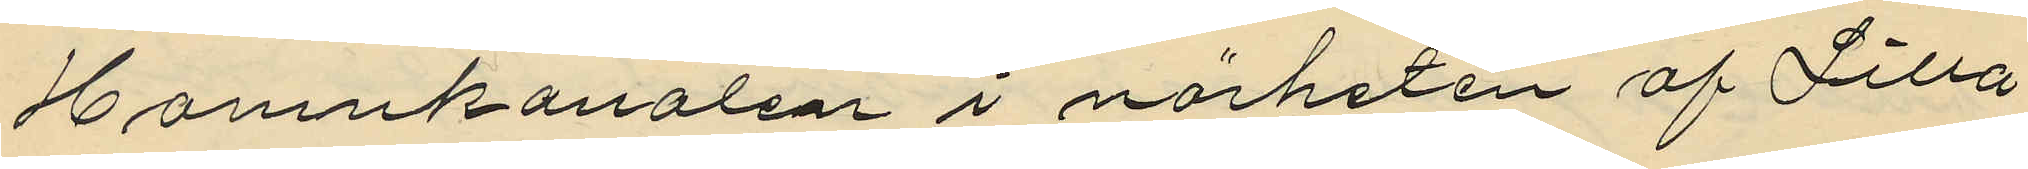Hamnkanalen i närheten af Lilla
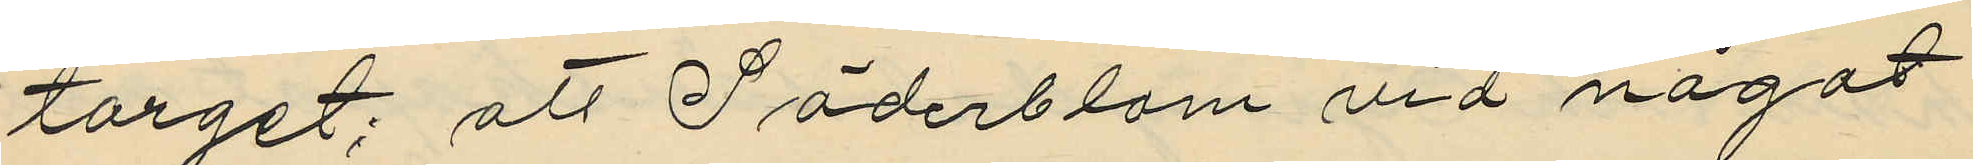torget; att Söderblom vid något
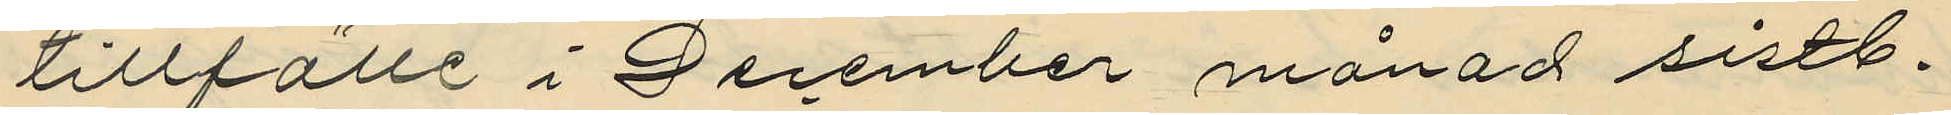tillfälle i December månad sistl.
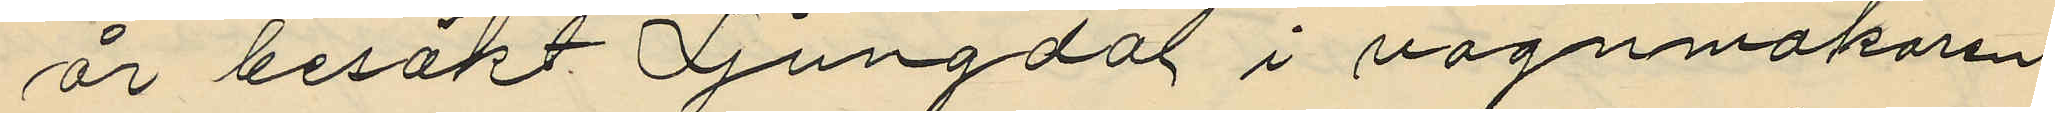år besökt Ljungdal i vagnmakaren
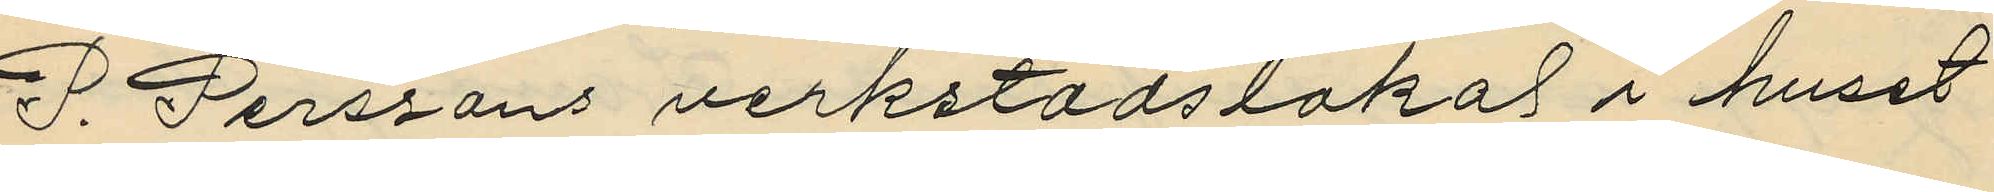D. Perssons verkstadslokal i huset
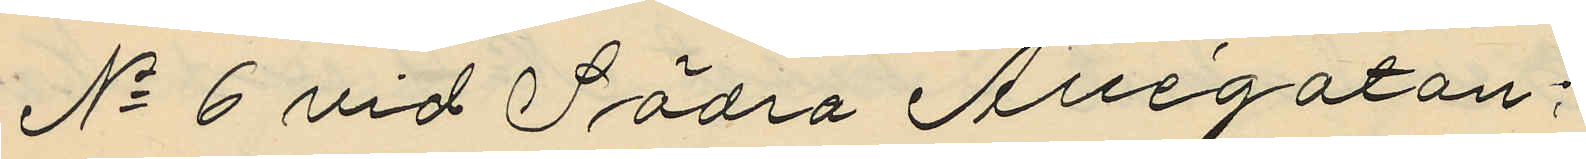No 6 vid Södra Allégatan:
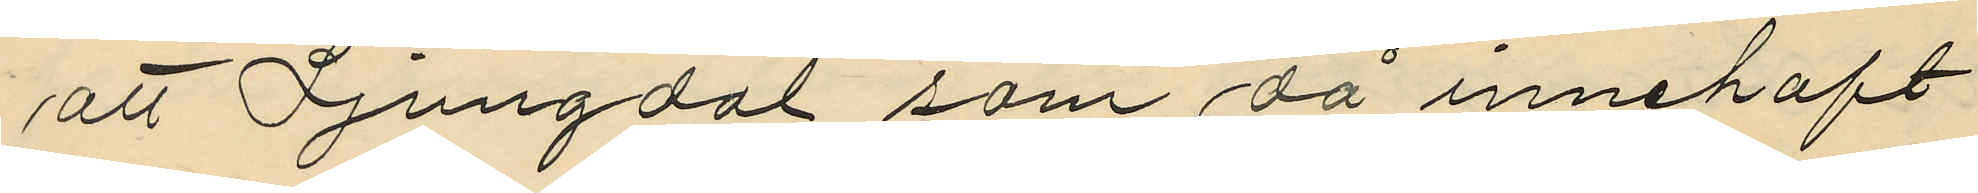att Fjungdal som då innehaft
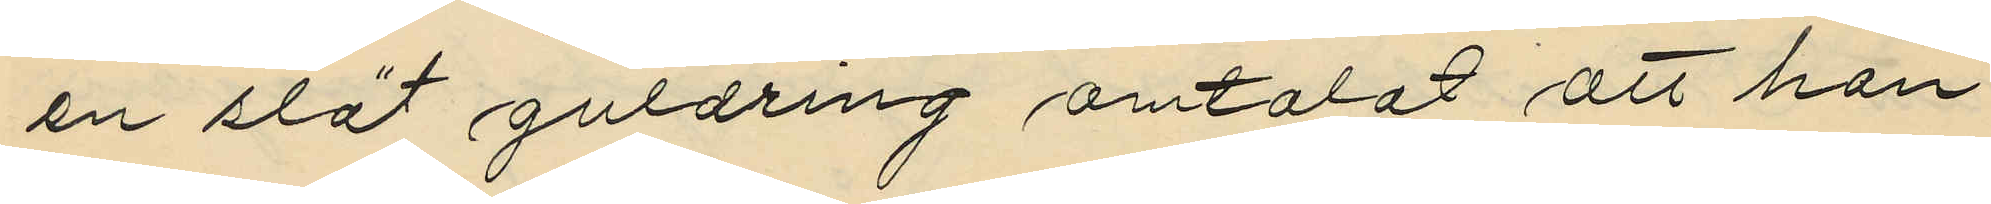en slät guldring omtalat att han
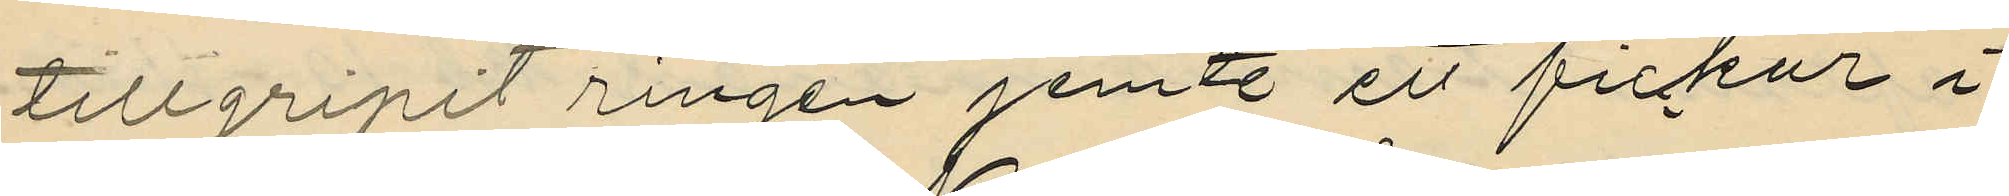tillgripit ringen jemte ett fickur i
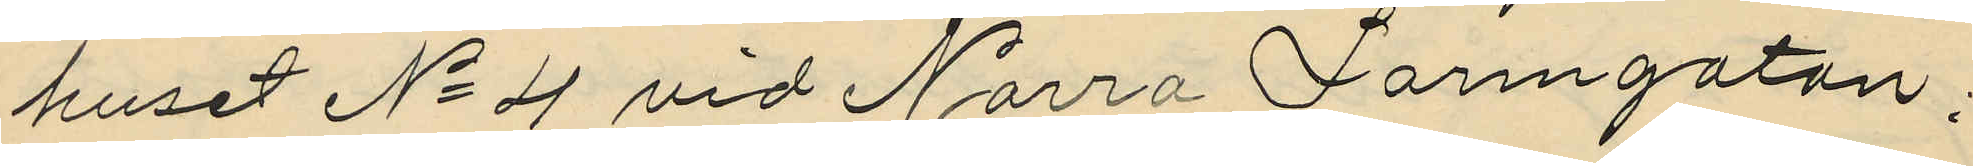huset No 4 vid Norra Larmgatan;
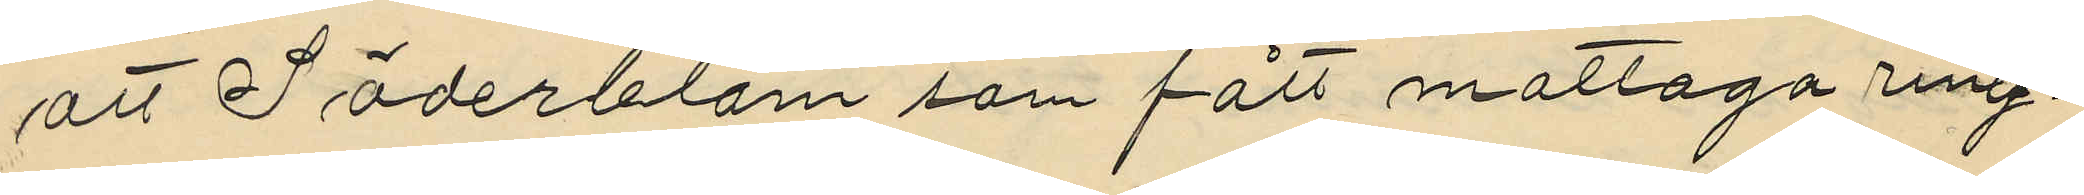att Söderblom som fått mottaga ring¬
